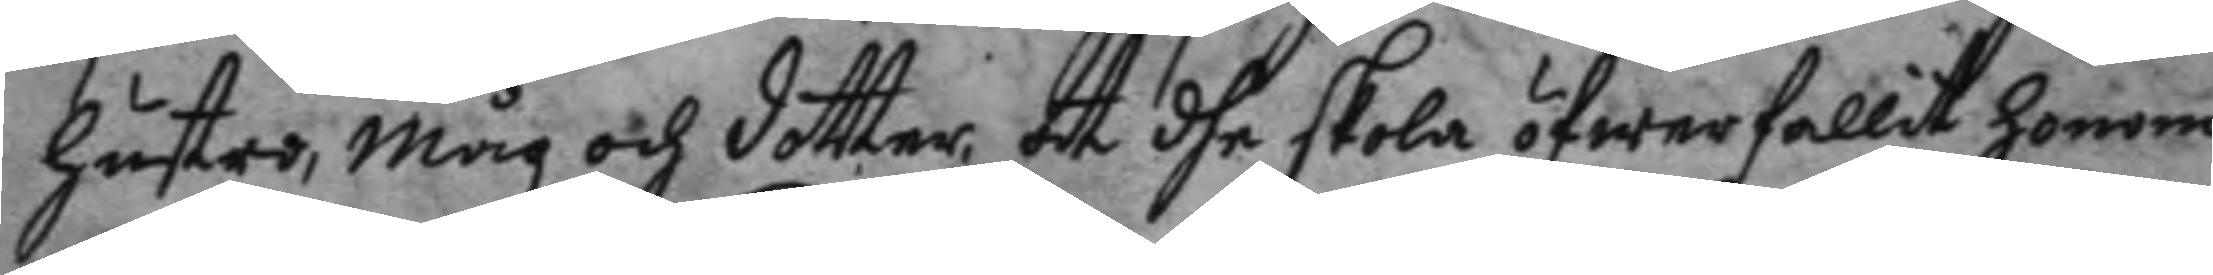hustro, måg och dotter, at dhe skola öfwerfallit honom
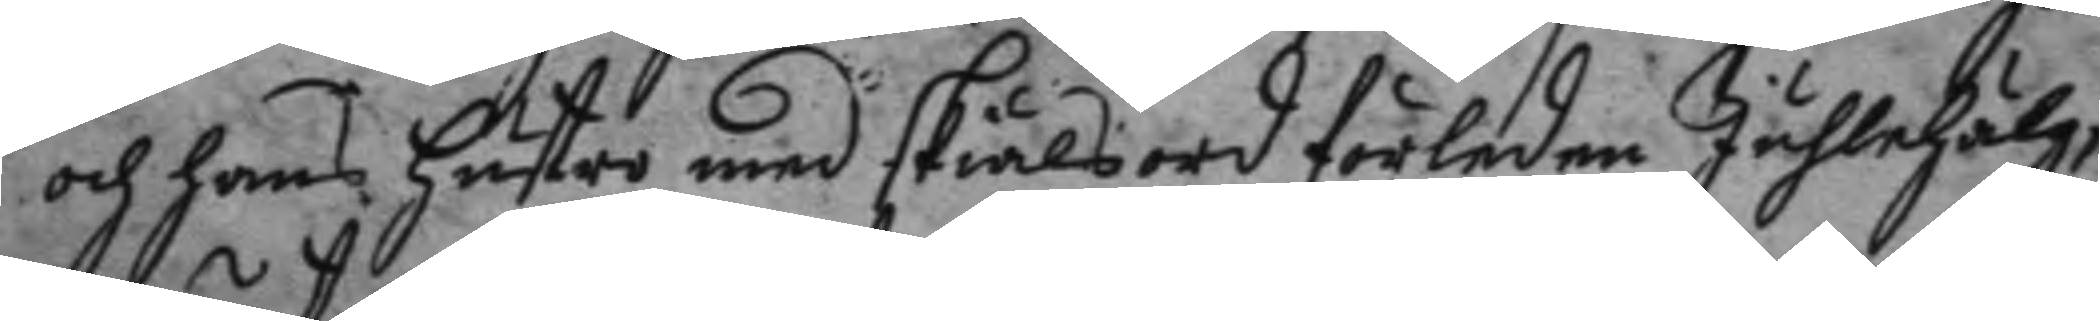och hans hustro med skiälsord förleden Juhlehälg;
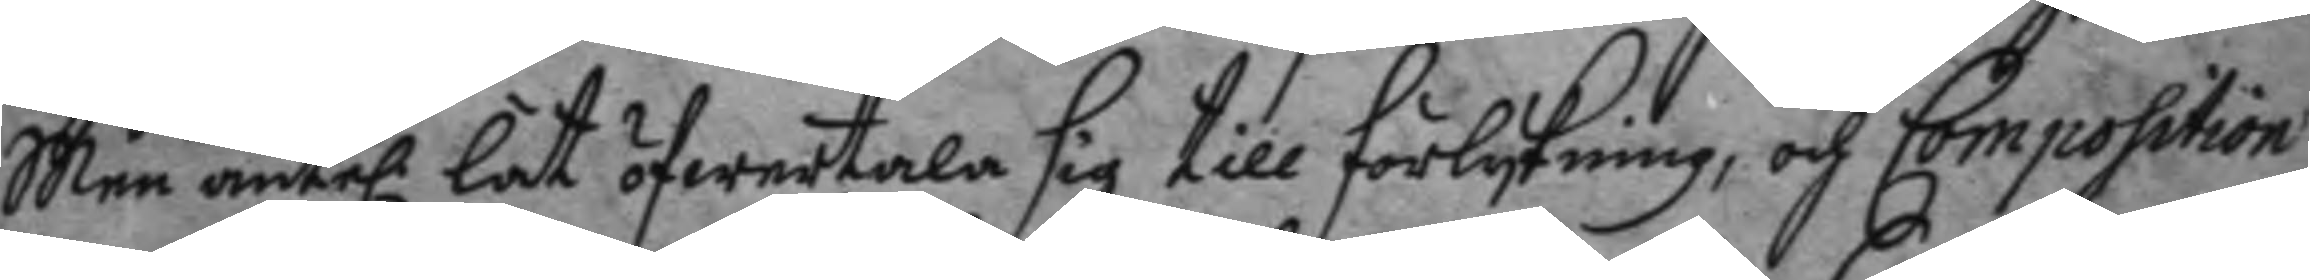Men äntel. lät öfwertala sig till förlykning, och Composition
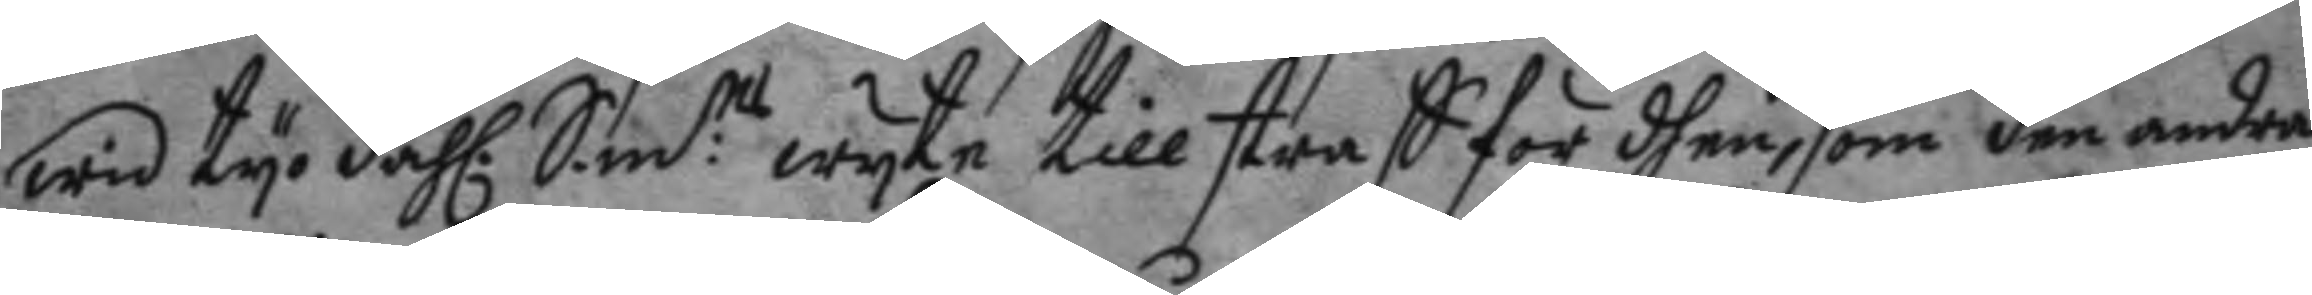wid tyo dahl. S.m:ts wyte till straff för dhen, som den andra
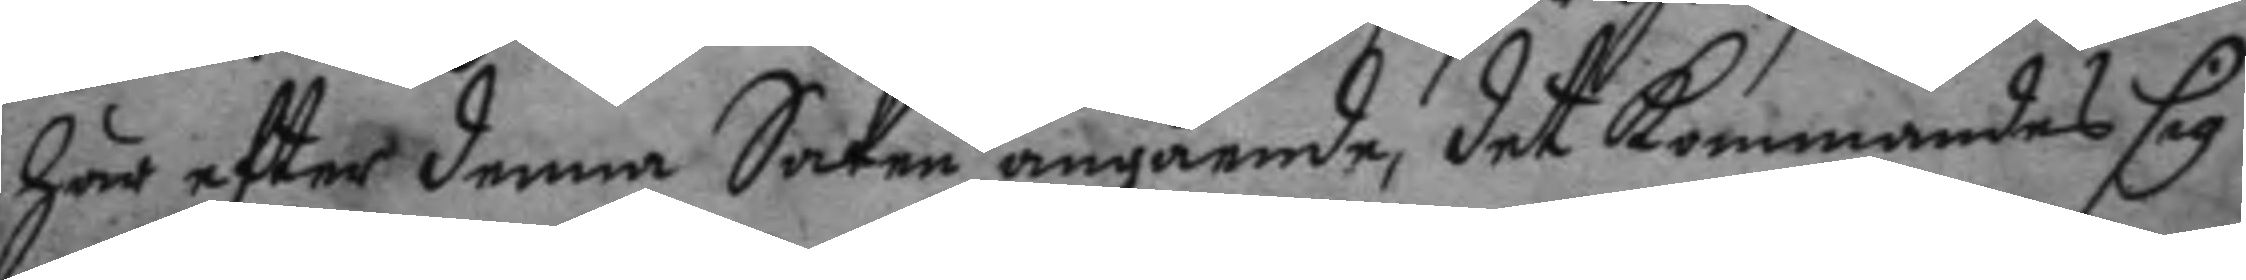här eftter denna Sake angående, det kommandes sig
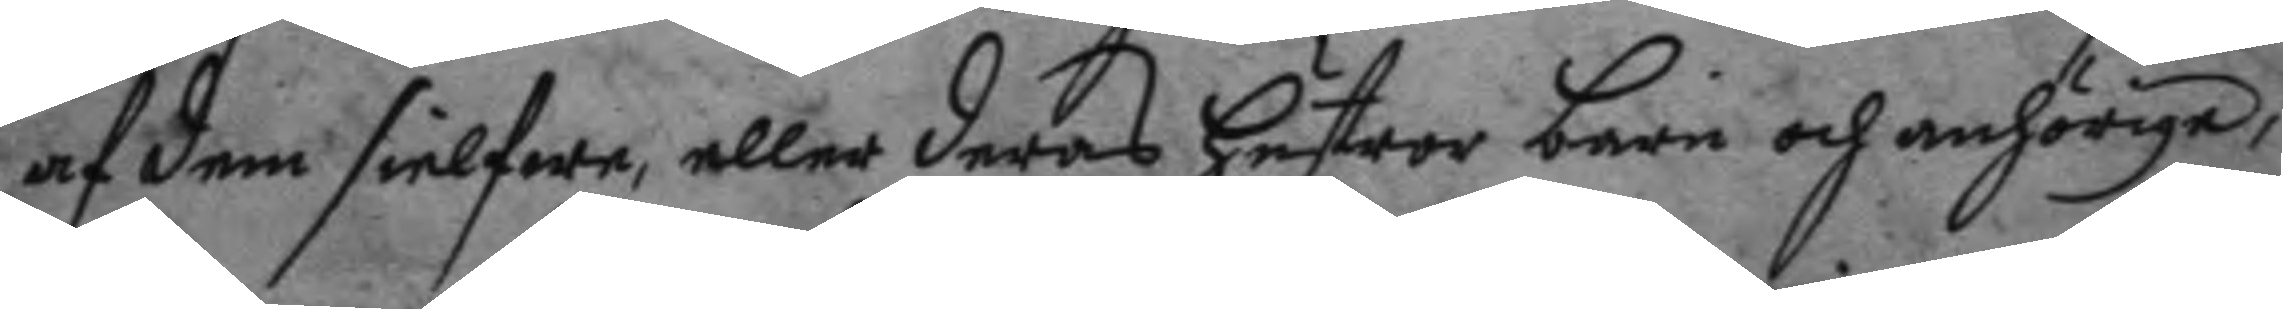af dem sielfwa, eller deras hustror barn och anhörige,
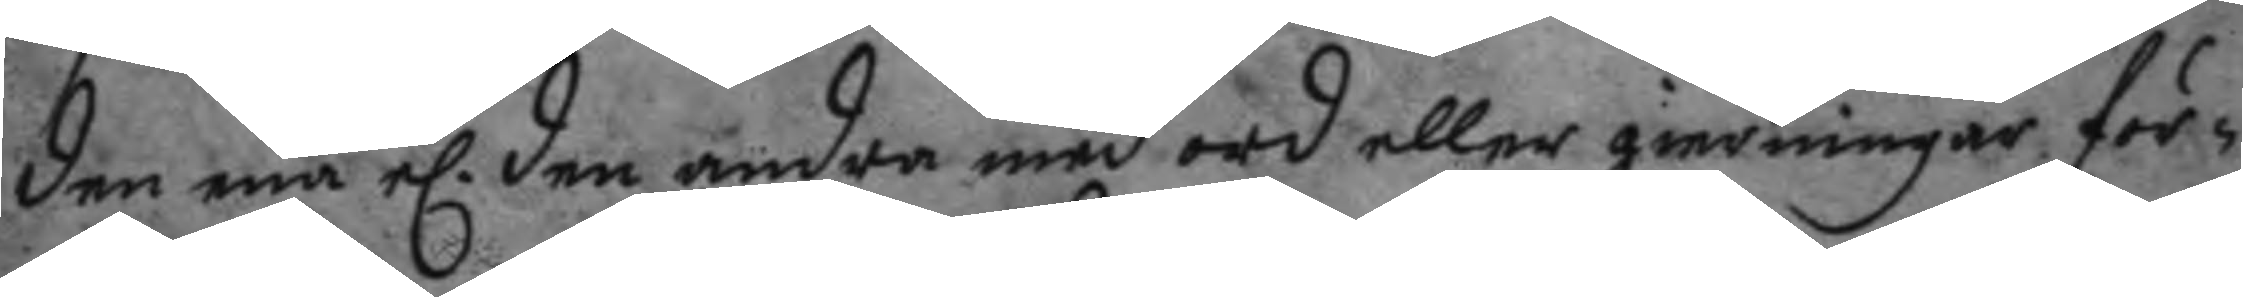den ena el. den andra med ord eller gierningar för¬
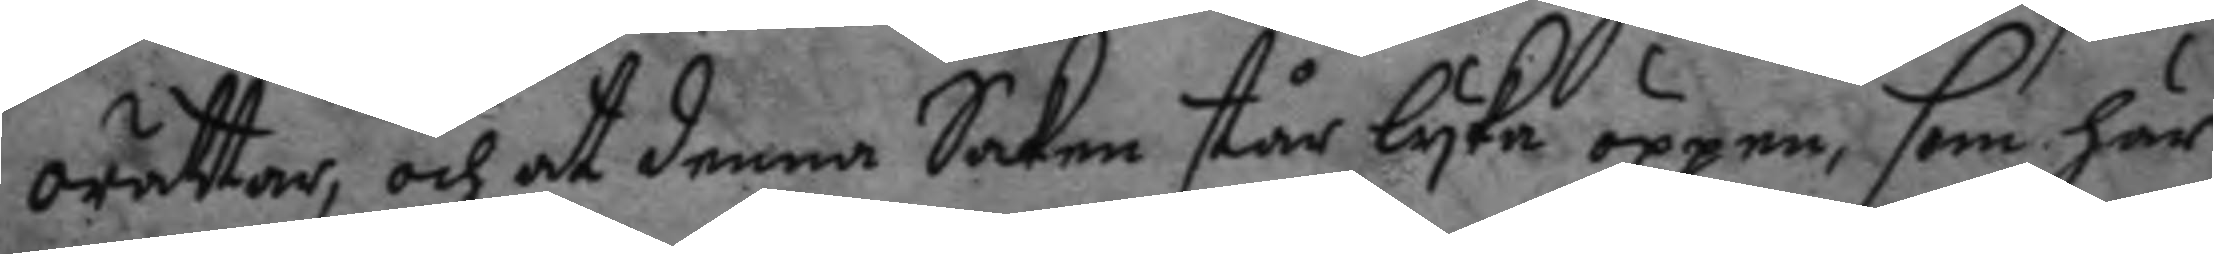orättar, och at denna Saken står lyka öppen, som här
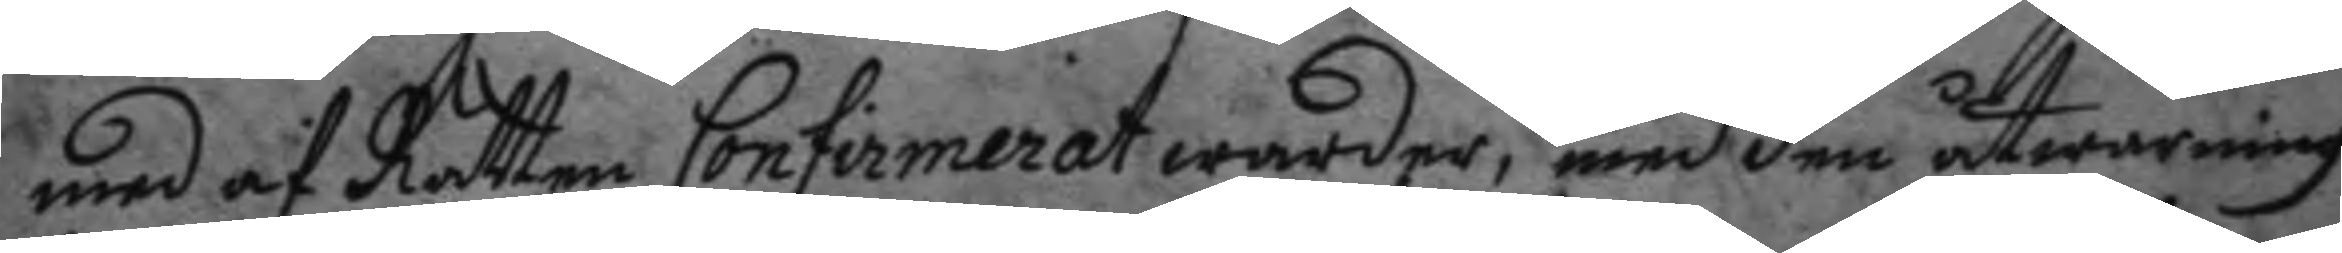med af Rätten Confirmerat warder, med den åtwarning
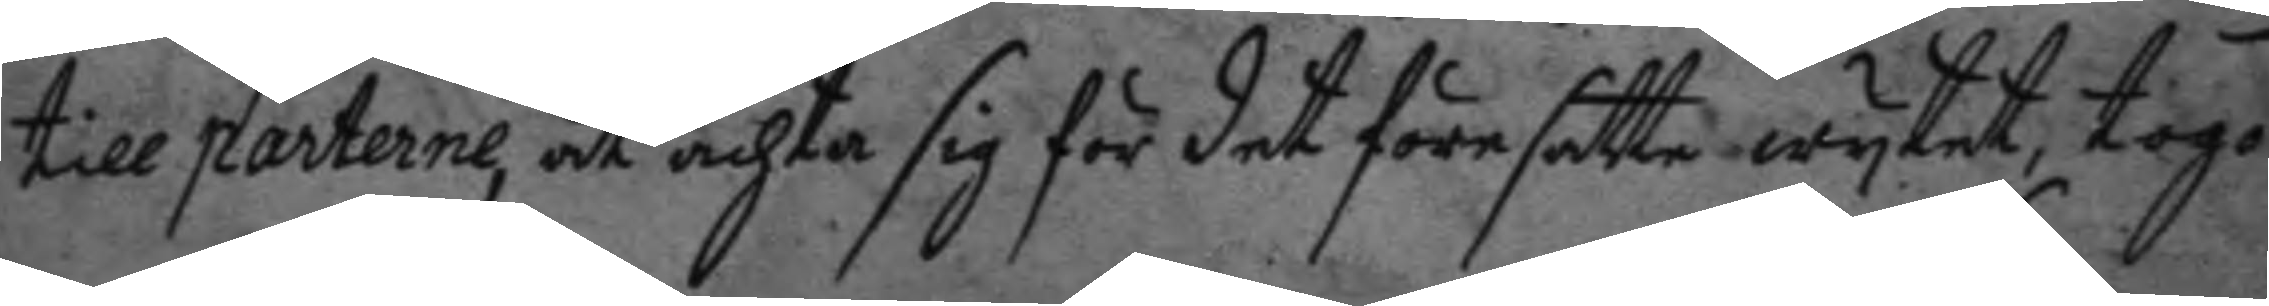till parterne, at achta sig för det föresatte wytet, togo
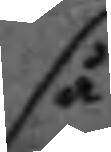så
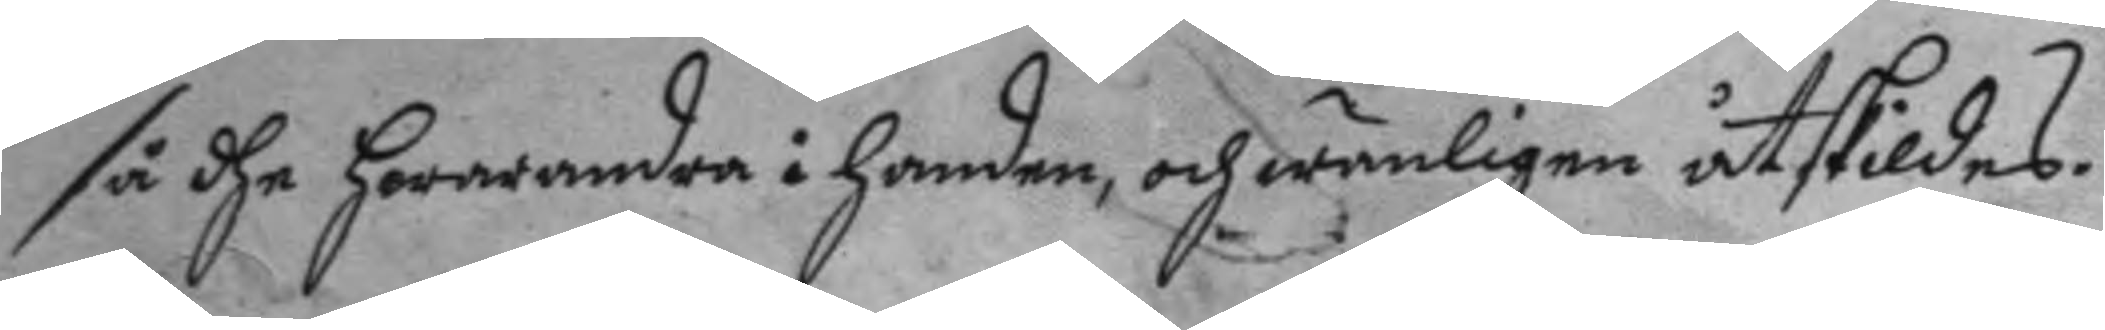så dhe hwarandra i handen, oc wänligen åtskildes.
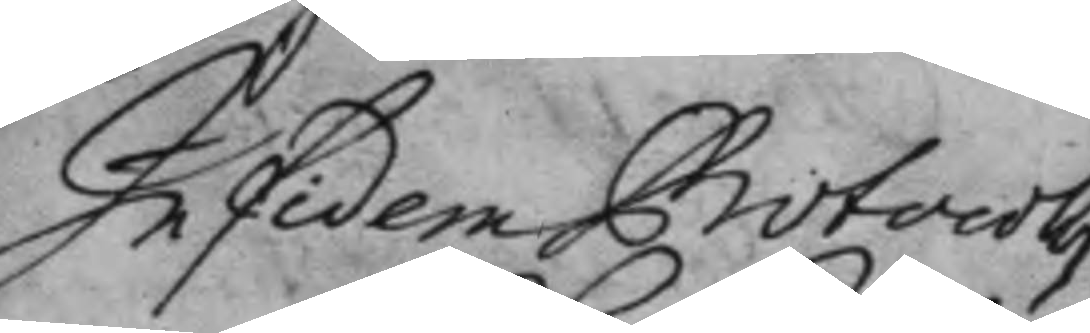In fidem Protocolli
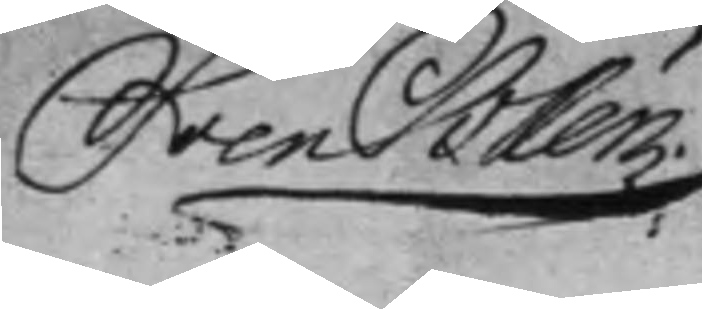Sven Salen
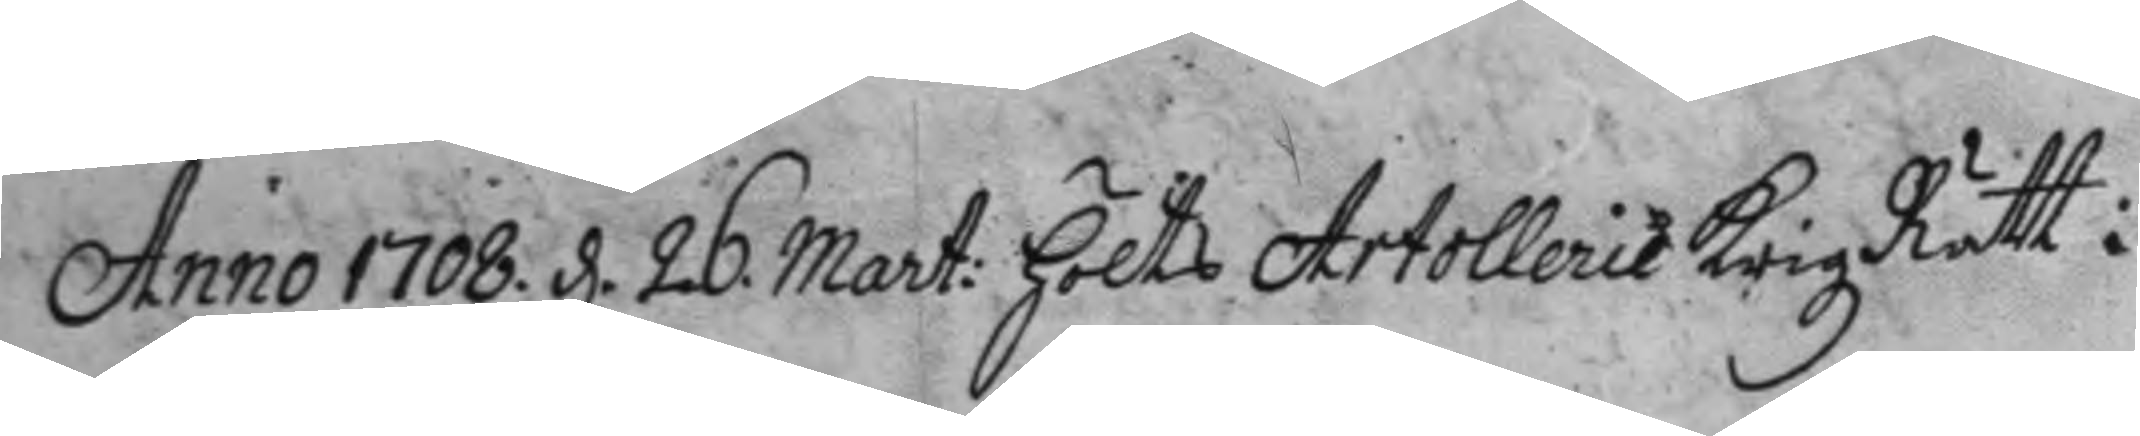Anno 1708. d. 26. Mart: höltz Artollerie KrigzRätt i
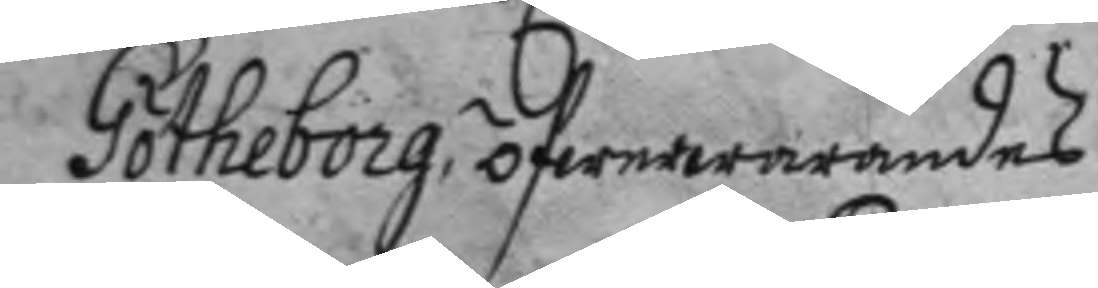Götheborg öfwerwarandes
